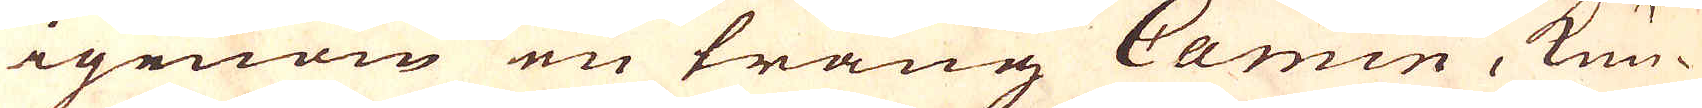igenom en trång Camin, kun-
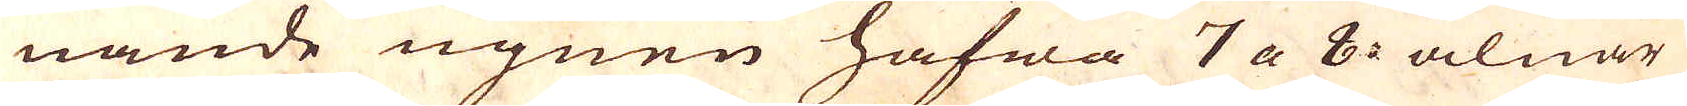nande ugnen hafwa 7 a 8 alnar
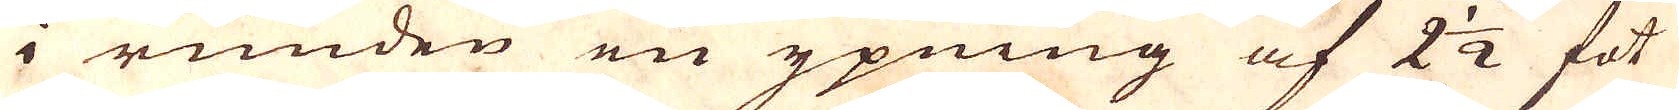i runden en ypning af 2 1/2 fot
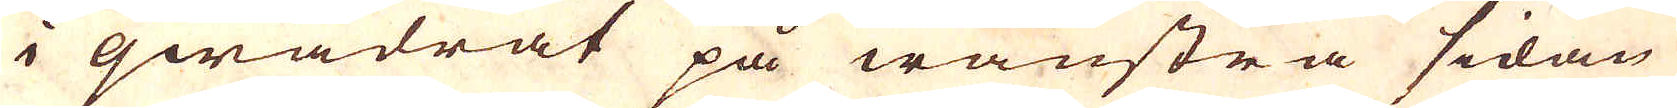i qwadrat på wänstra sidan
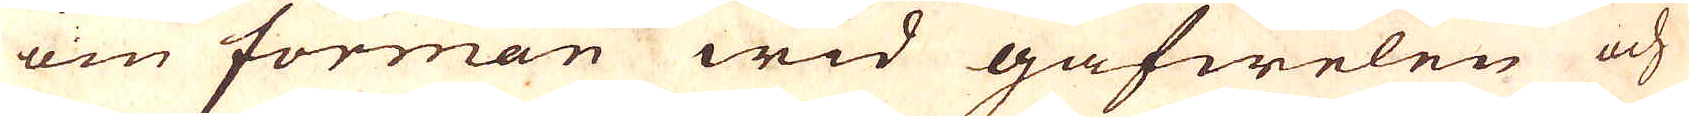om forman wid gafwelen och
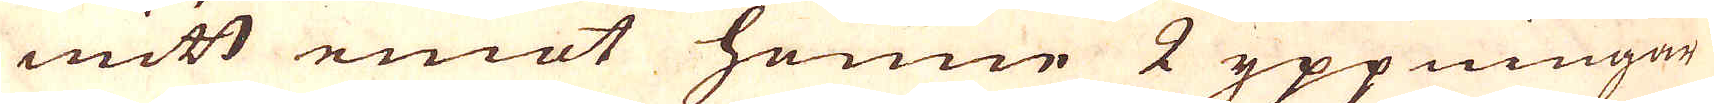mitt emot henne 2 yppningar
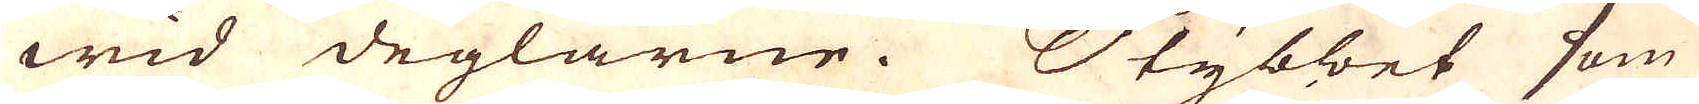wid deglarne. Stybbet som
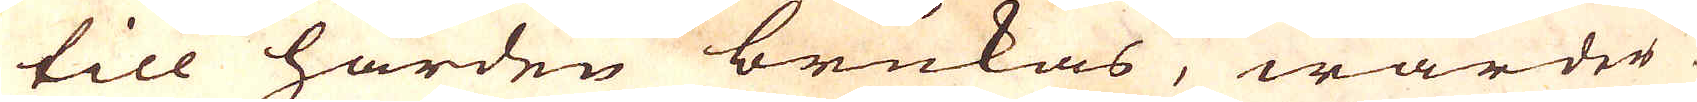till härden brukas, warder
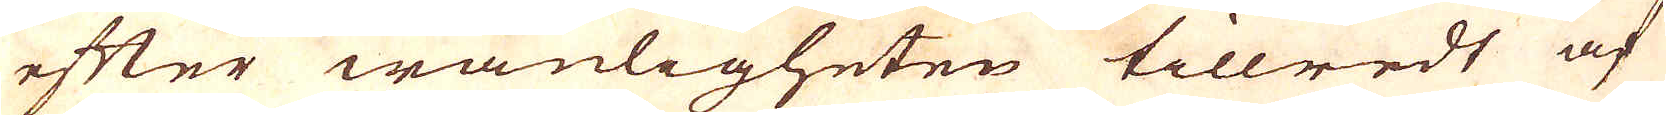efter wanligheten tillredt af
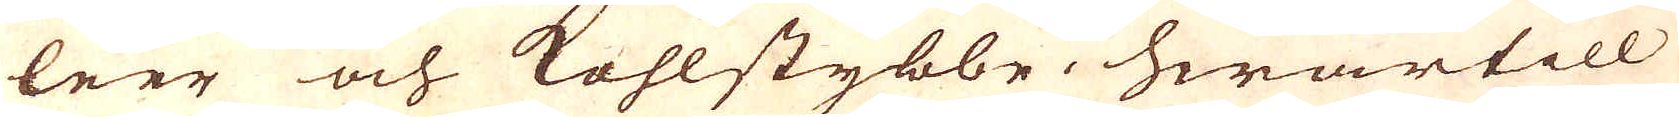leer och kohlstybbe, hwartill
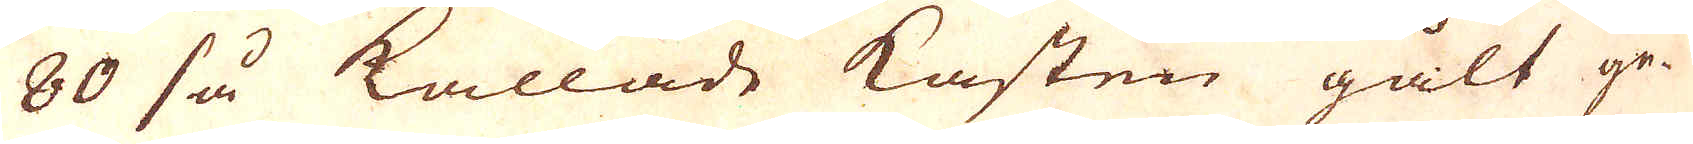80 så kallade Kasten gält ge-
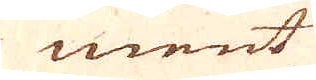ment
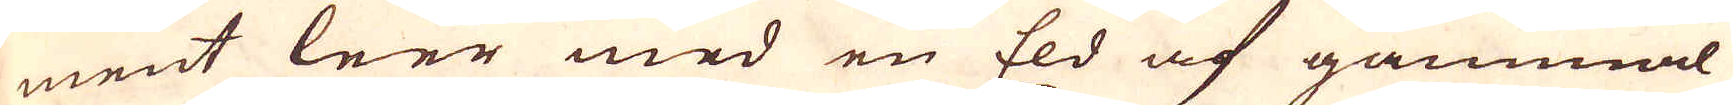ment leer med en Eld af gammal
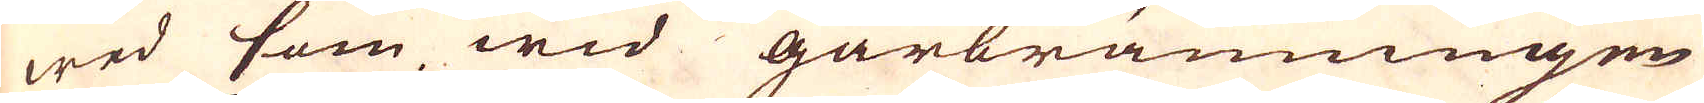wed som wid gårbränningen
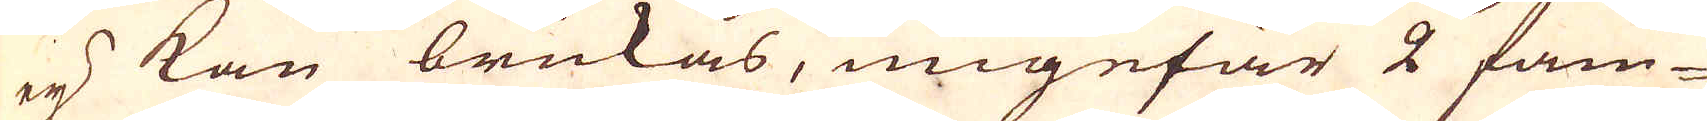ej kan brukas, ungefär 2 fam-
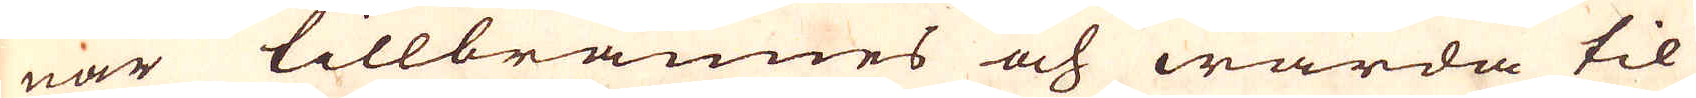nar tillbrännes och warda til
